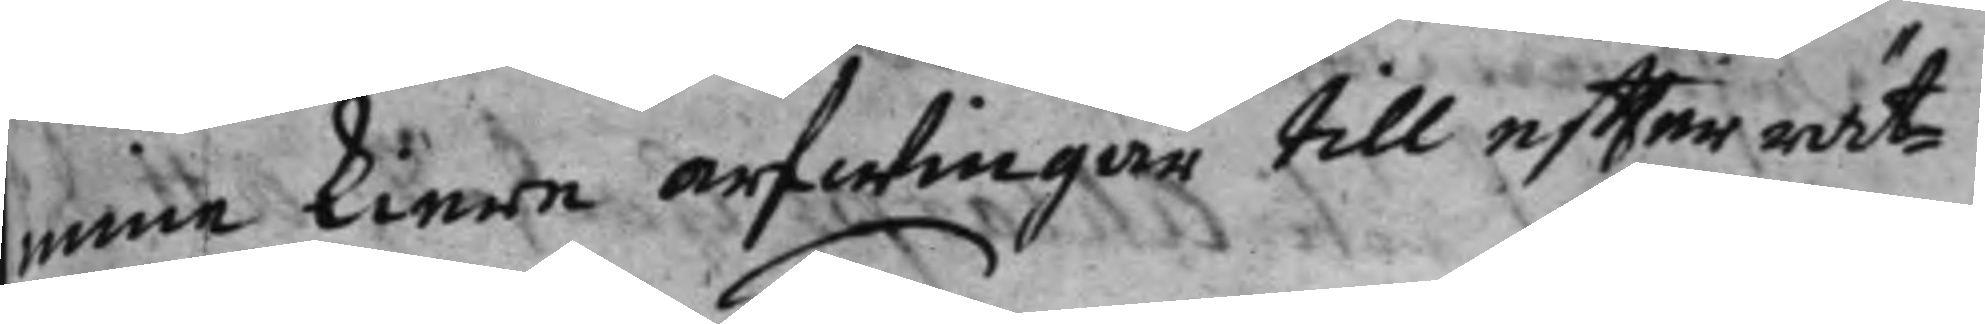mine kiere arfwingar till effterrät¬
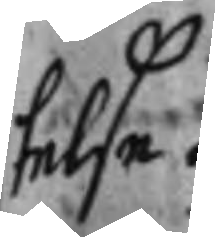telse.
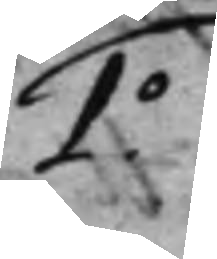1.o
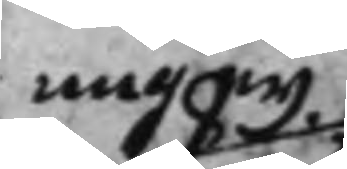mig ey
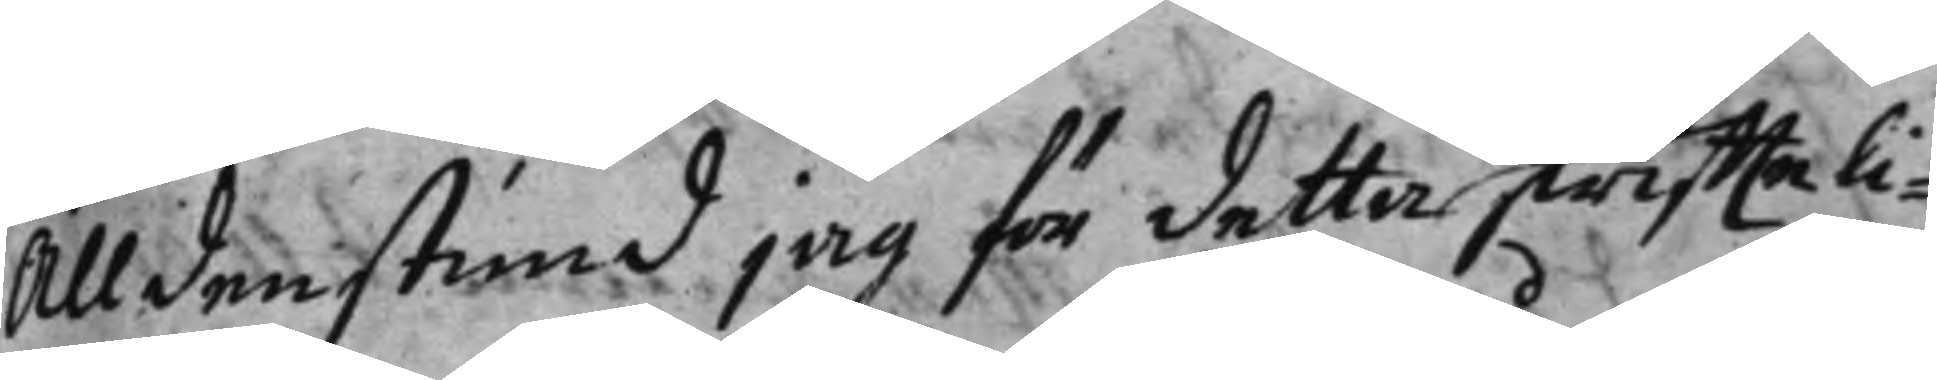Alldenstund jag för detta skriffteli¬
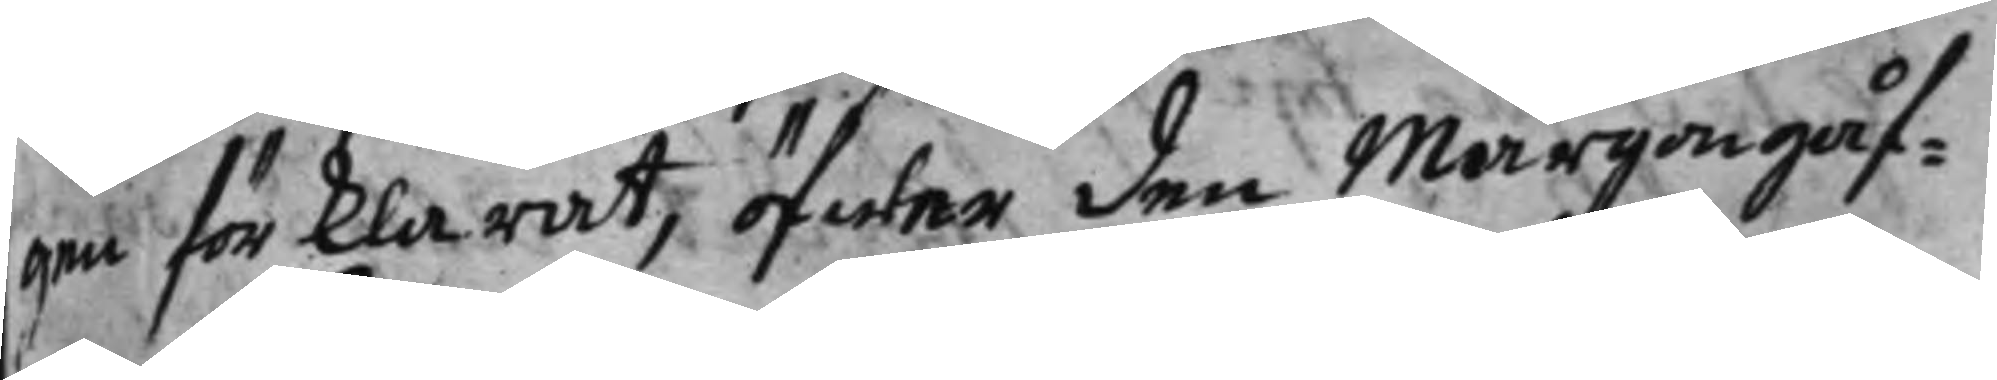gen förklarat, öfwer den Mårgongåf¬
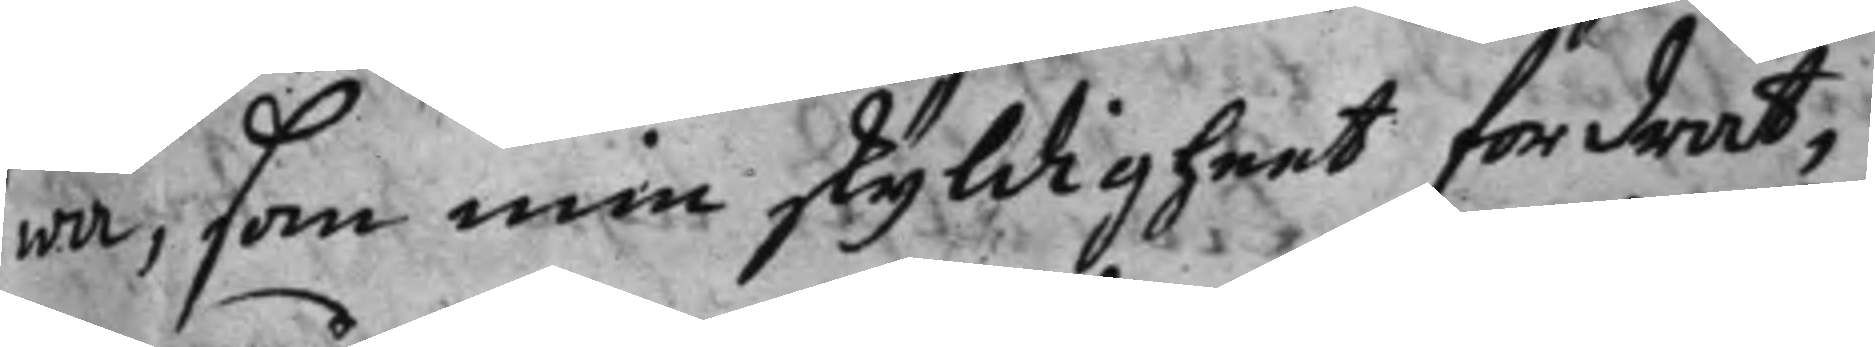wa, som min skyldigheet fordrat,
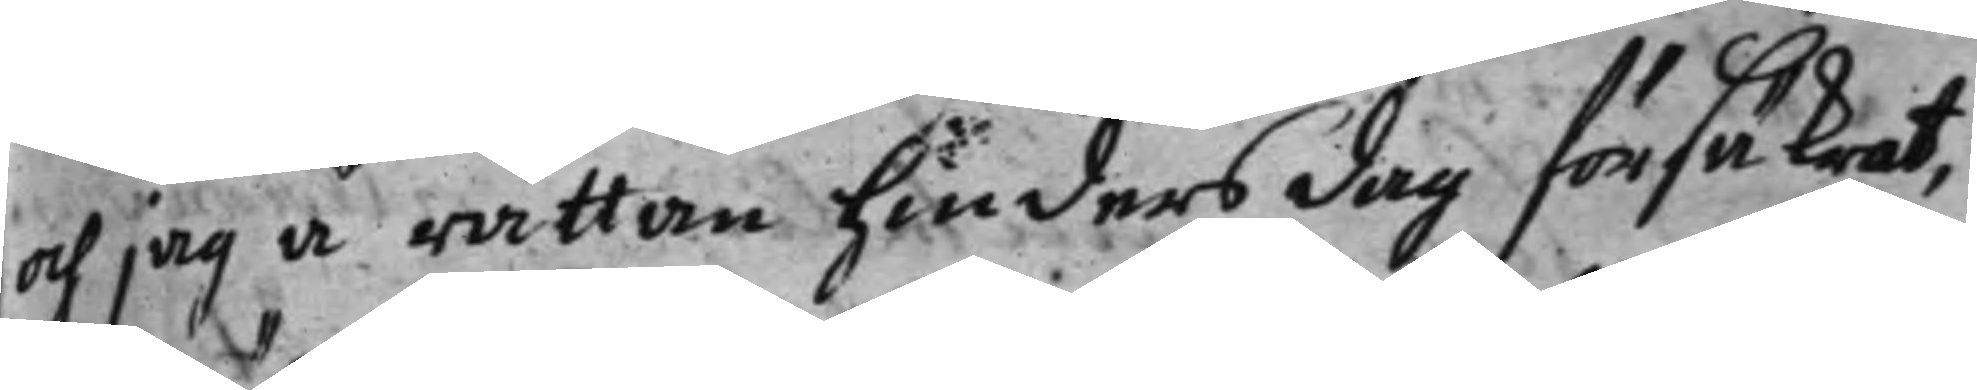och jag å rättan hinders dag försäkrat,
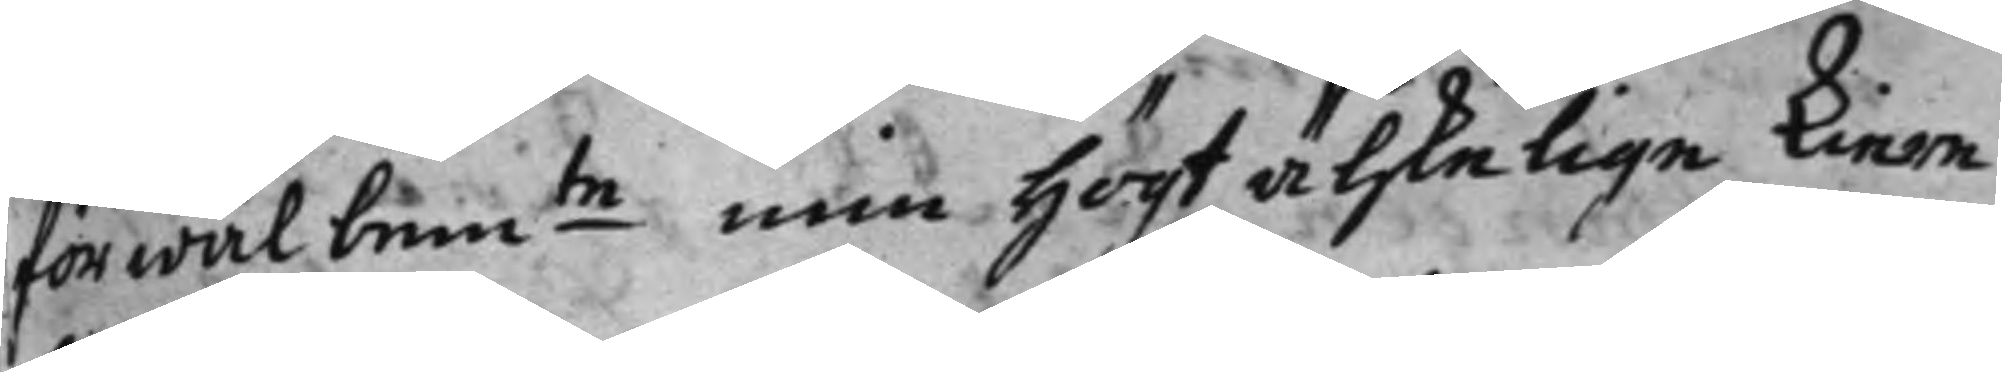för wäl bem:te min högt älskelige kiere 
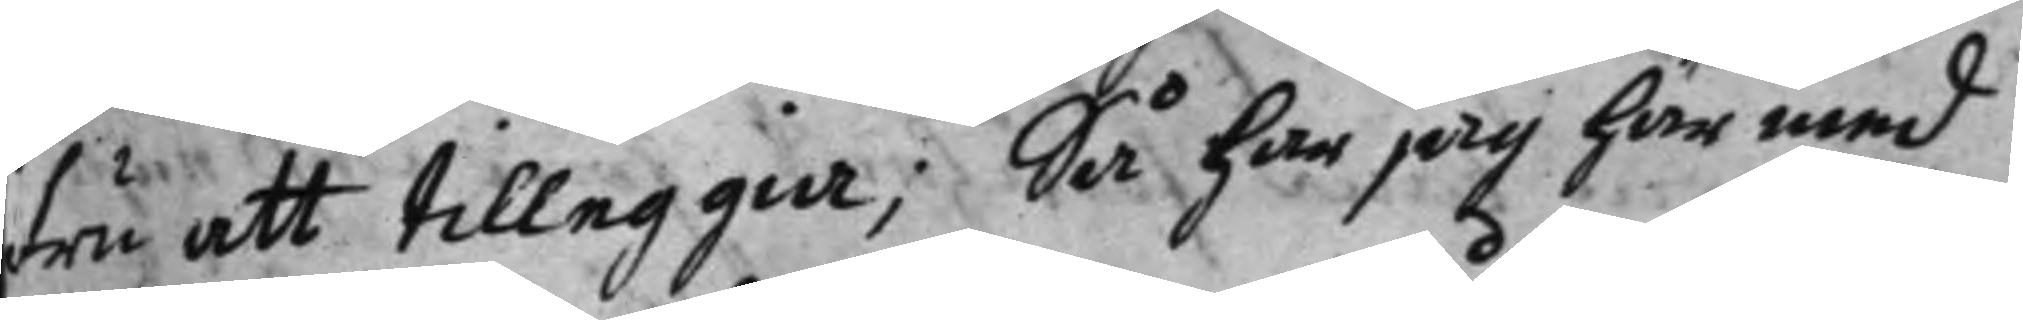fru att tilleggia; Så har jag härmed
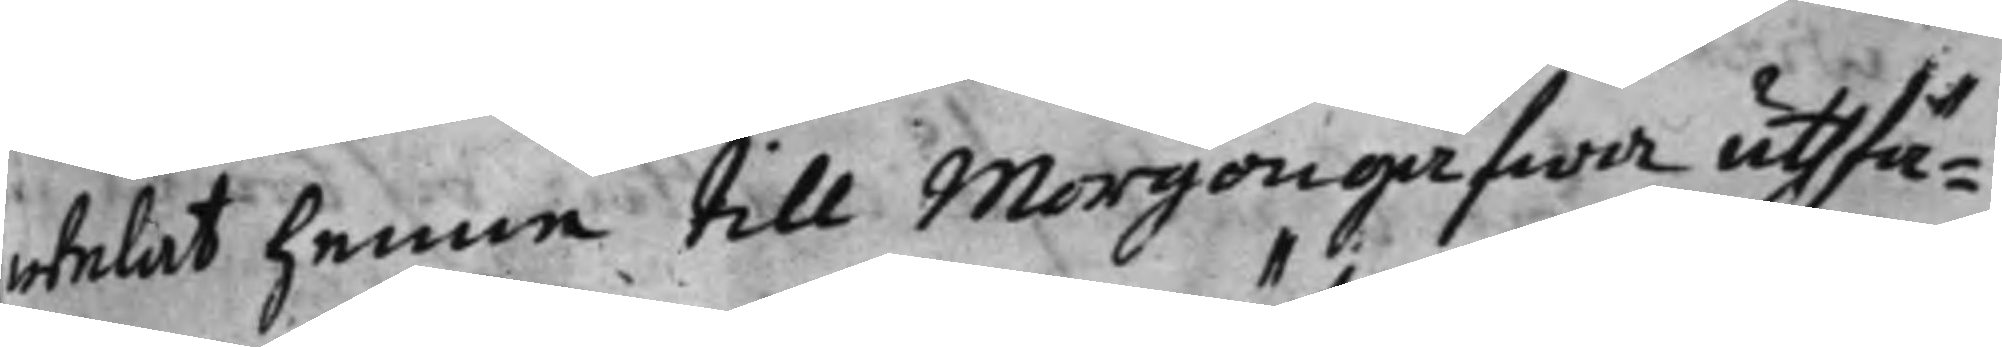welat henne till Morgongåfwa uthfä¬
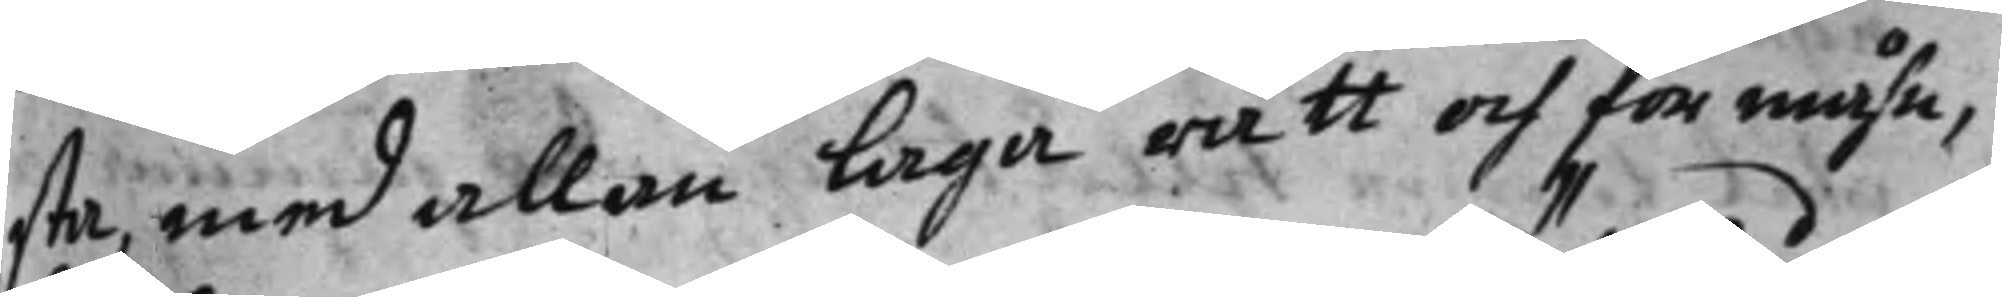sta med allan laga rätt och förmåhn,
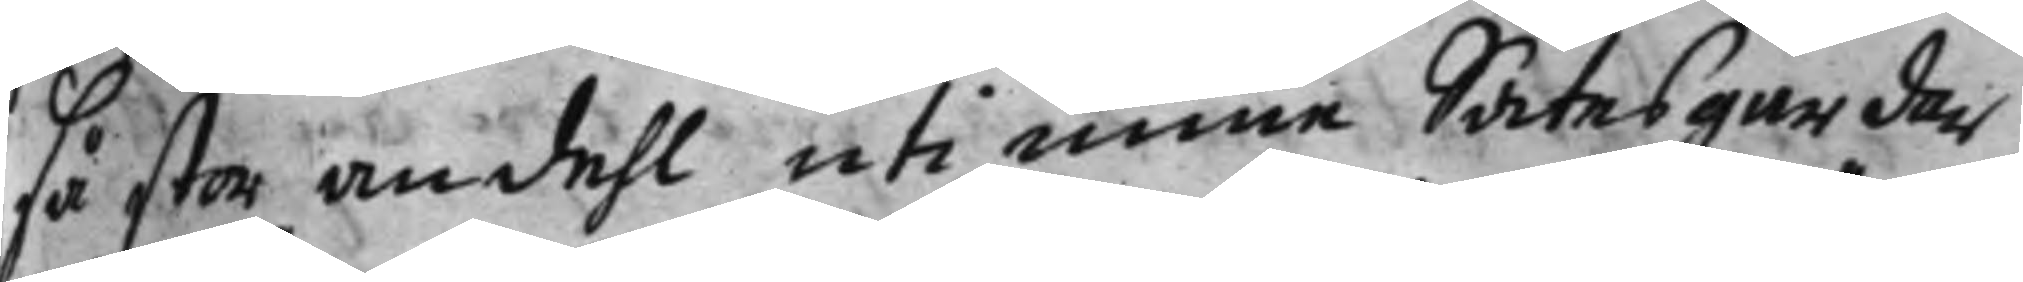så stor andehl uti mine Sätesgårdar
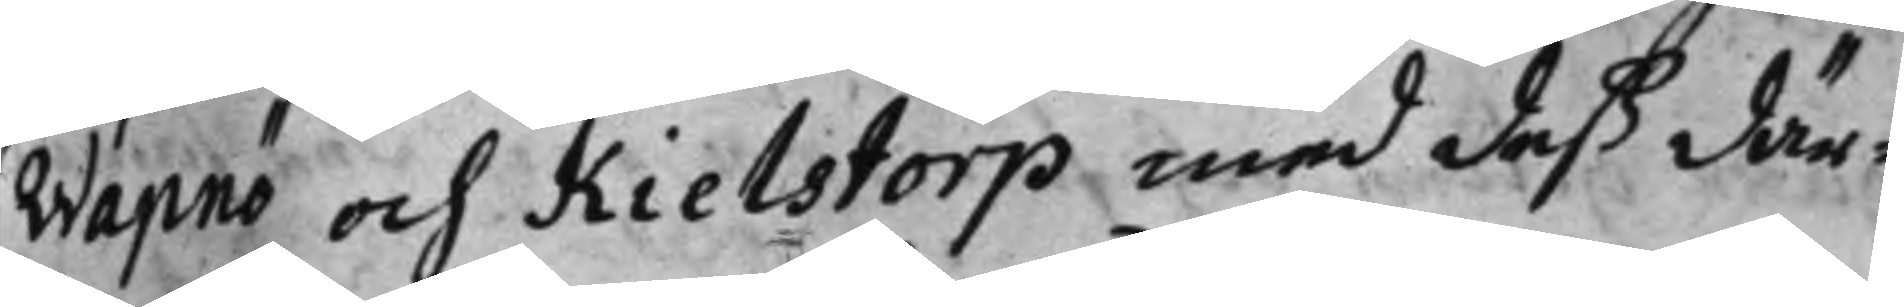Wapnö och Kielstorp med deß där¬
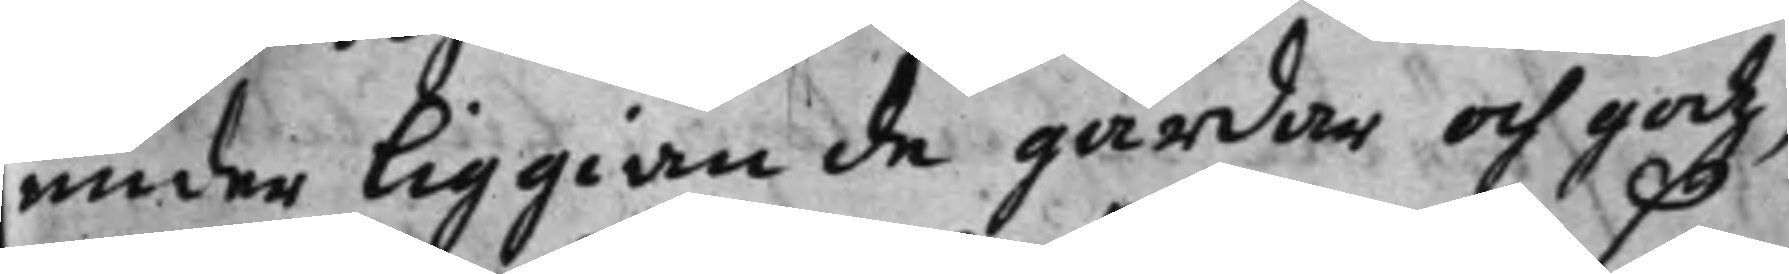under liggiande gårdar och godz,
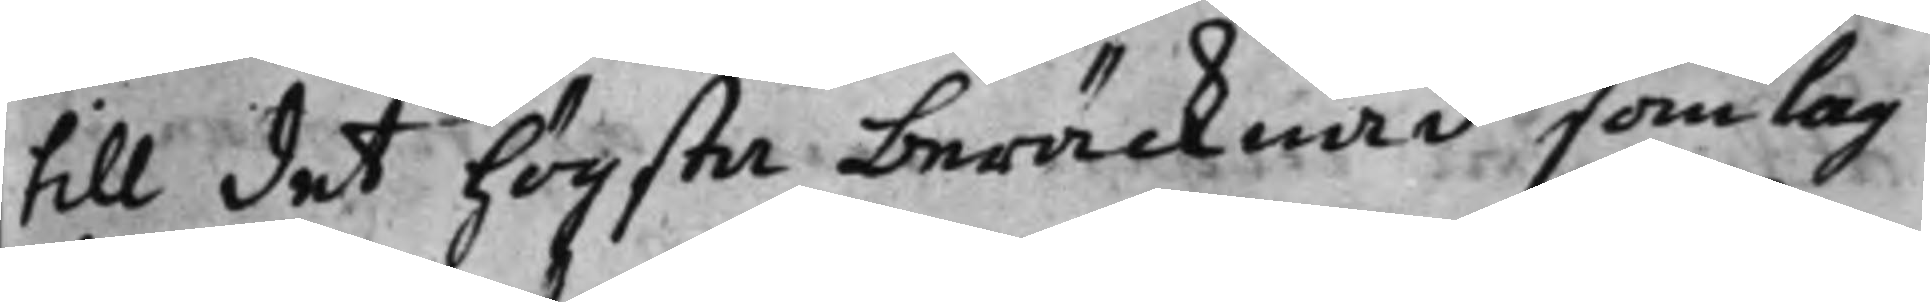till det högsta beräcknad, som lag
